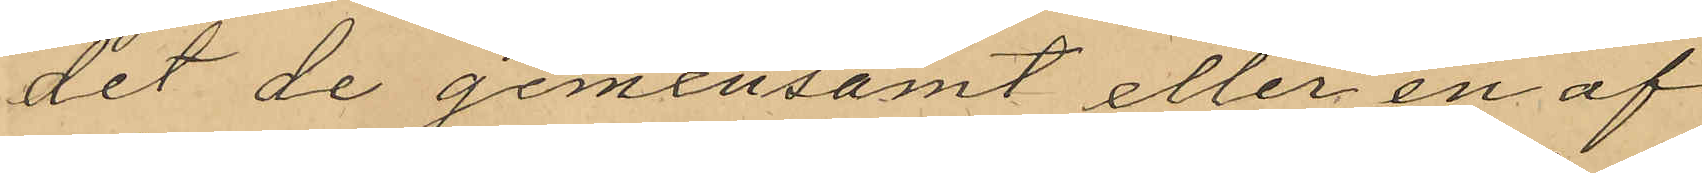det de gemensamt eller en af
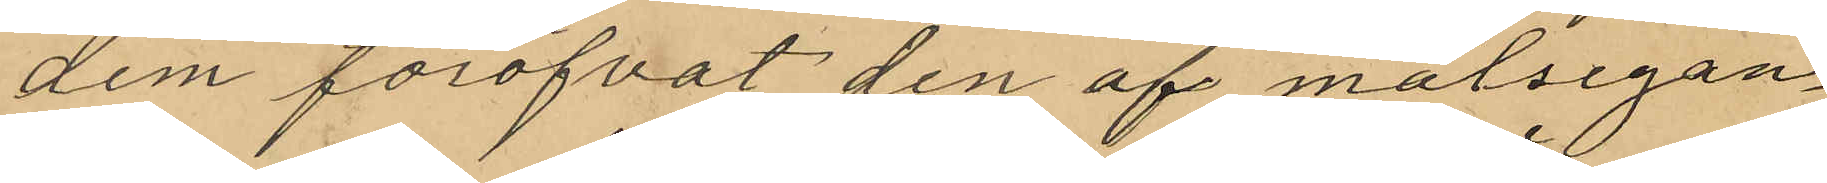dem föröfvat den af målsegan¬
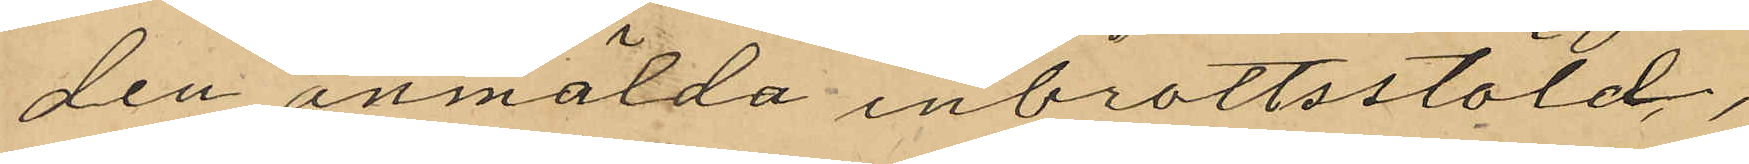den anmälda inbrottsstöld,
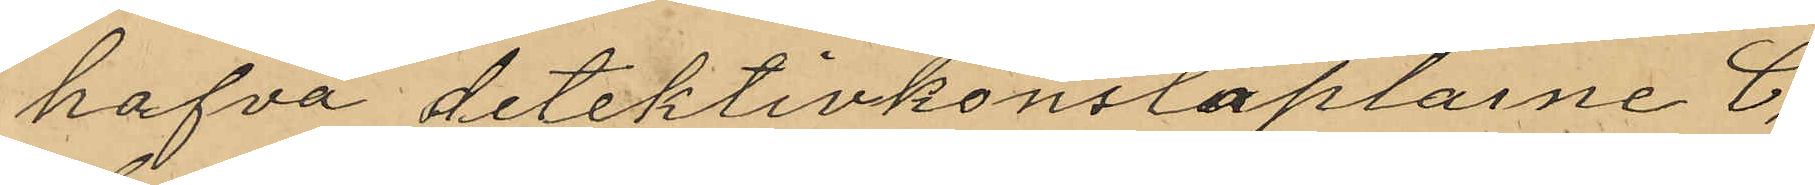hafva detektivkonstaplarne C.
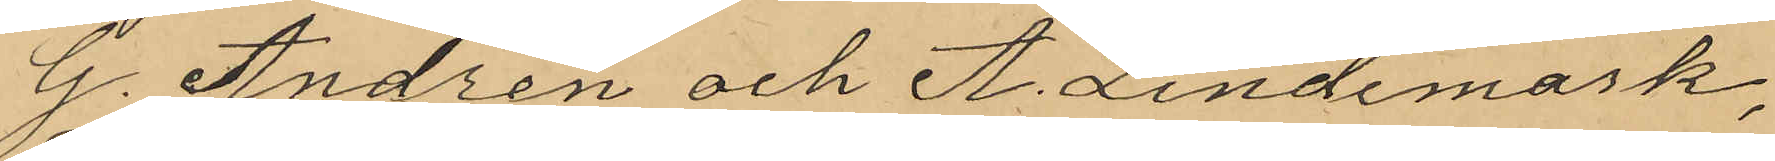G. Andren och A. Lindemark,
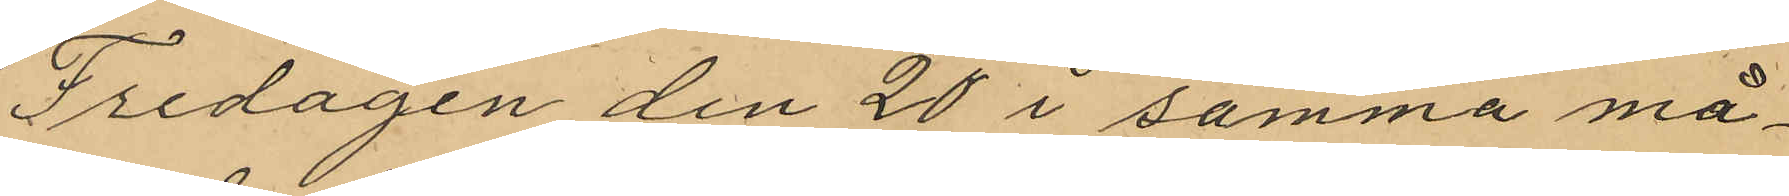Fredagen den 20 i samma må¬
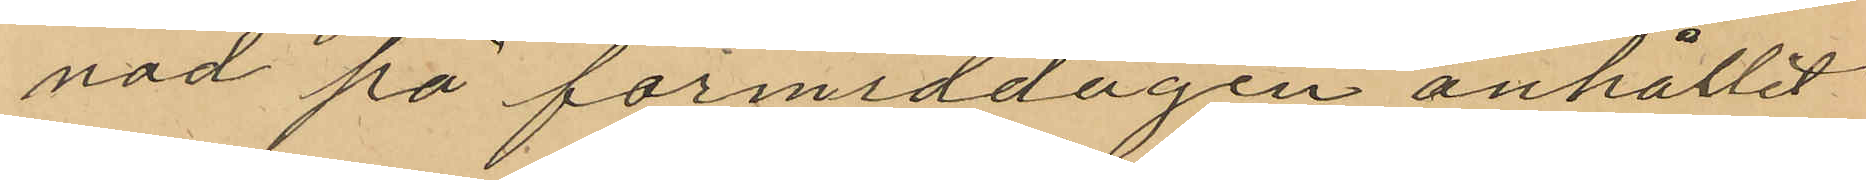nad på förmiddagen anhållit
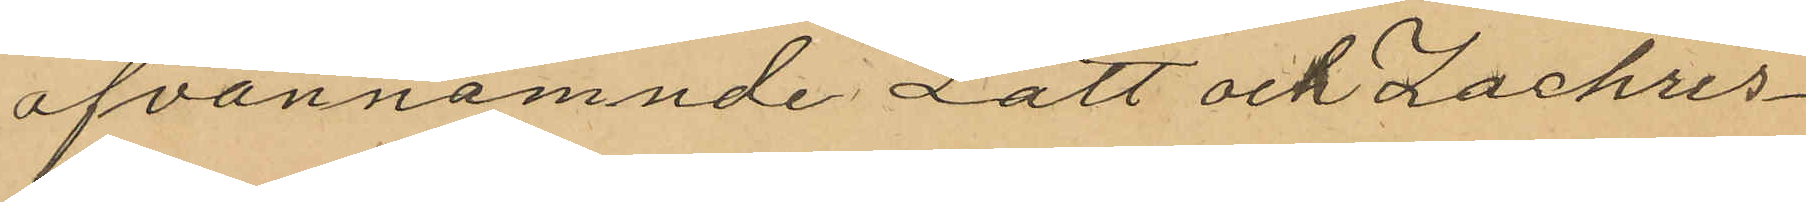ofvannamnde Lätt och Zachris¬
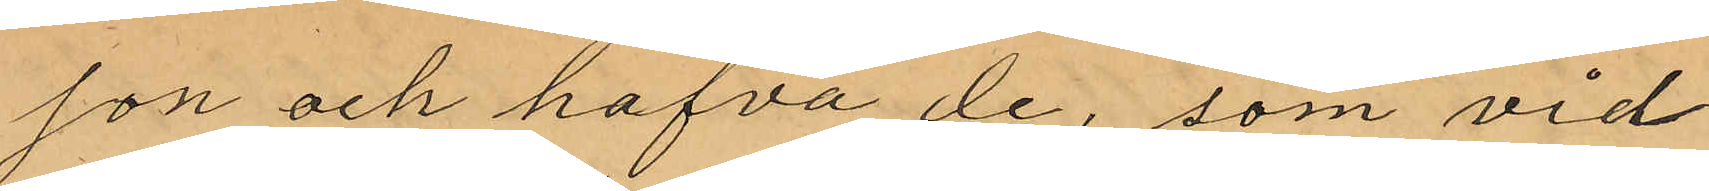son och hafva de, som vid
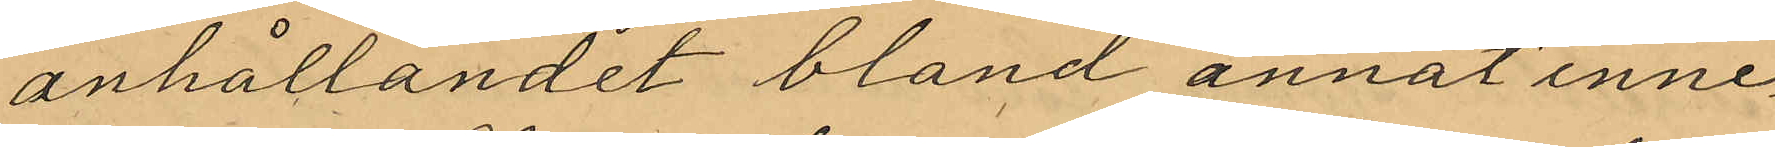anhållandet bland annat inne¬
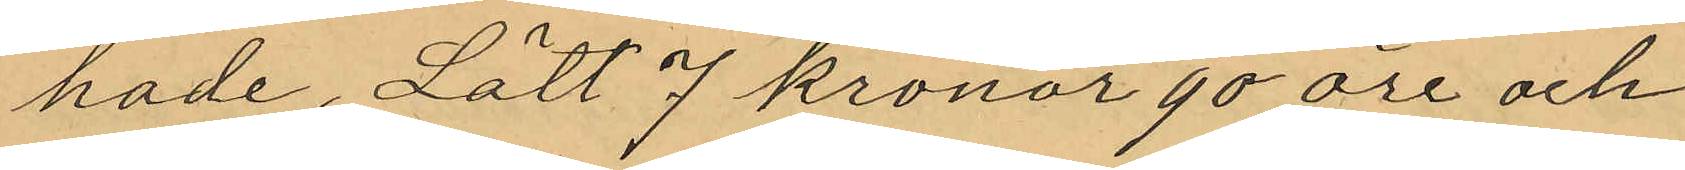hade, Lätt 7 kronor 90 öre och
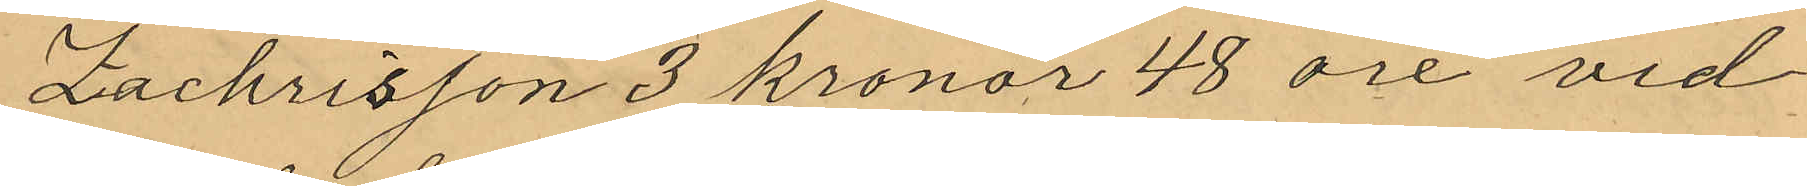Zachrisson 3 kronor 48 öre vid
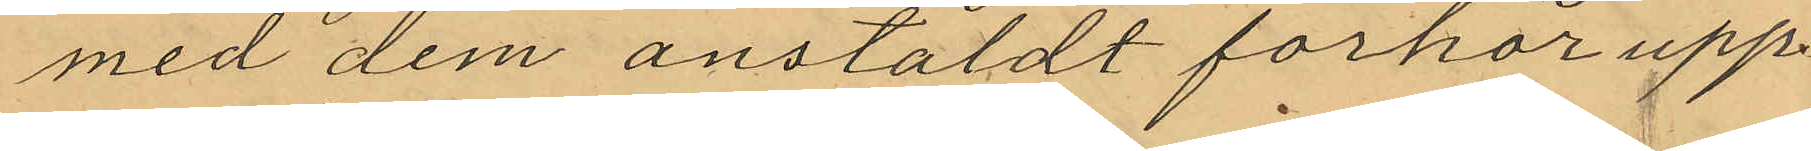med dem anstäldt förhör upp¬
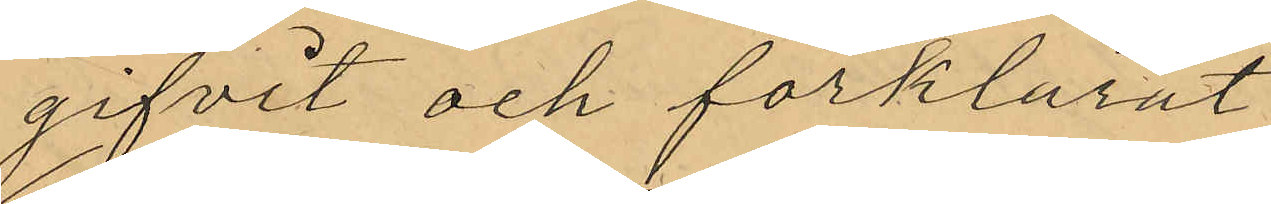gifvit och förklarat
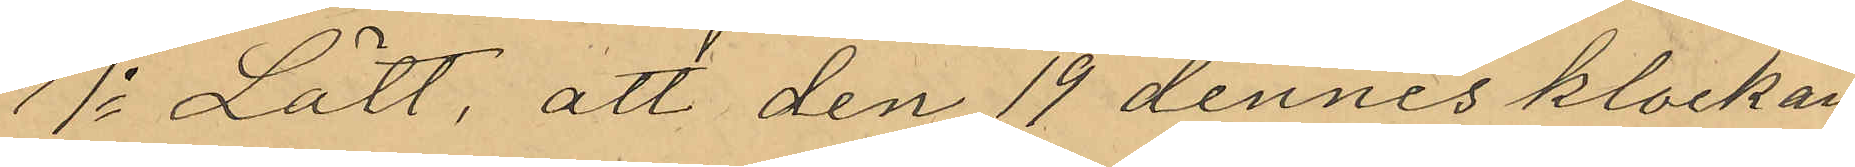1o Lätt, att den 19 dennes klockan
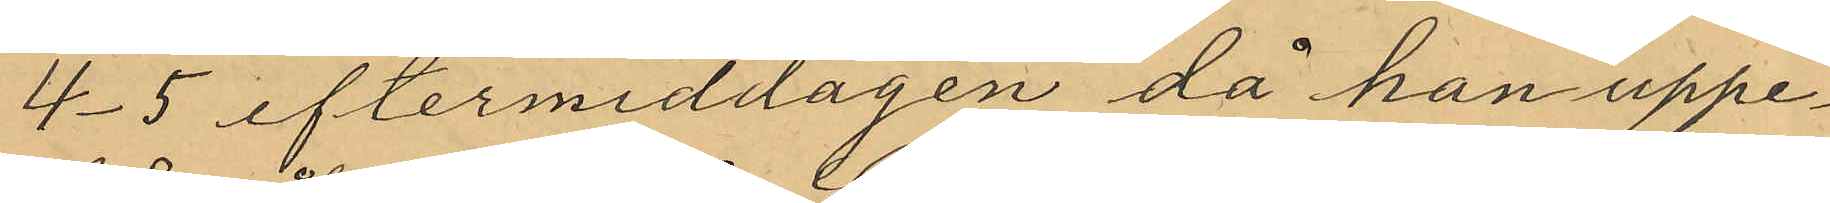4-5 eftermiddagen då han uppe¬
